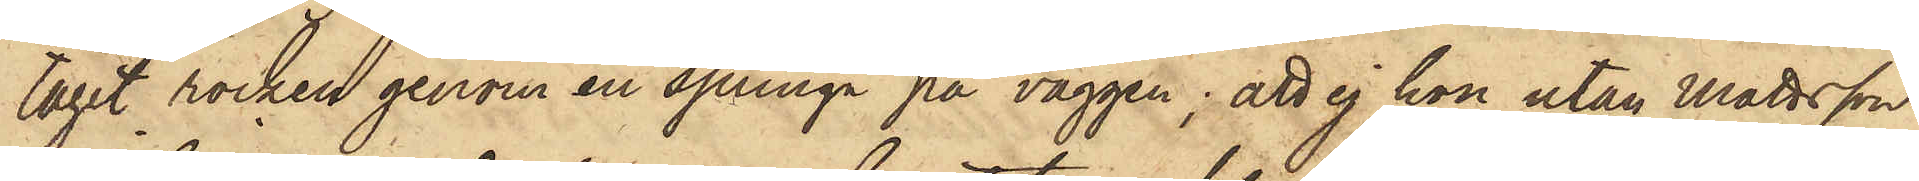tagit rocken genom en springa på väggen; att ej hon utan Mattsson
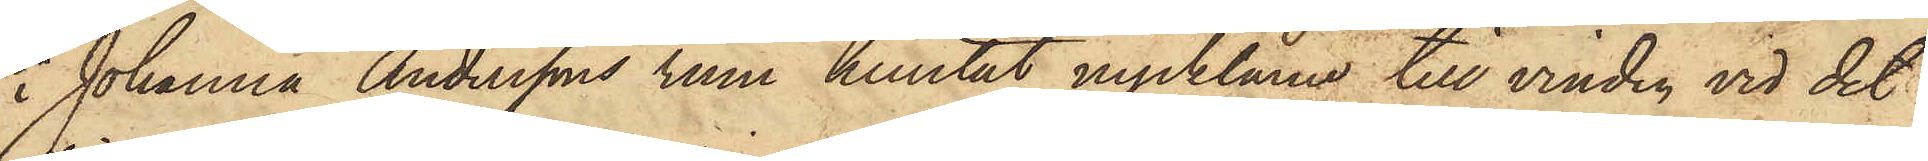i Johanna Anderssons rum hemtat nycklarna till vinden, vid det
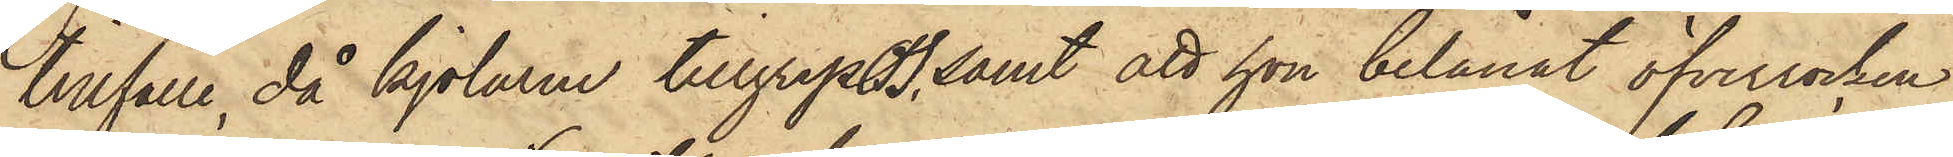tillfälle, då kjolarne tillgrepos, samt att hon belånat öfverrocken
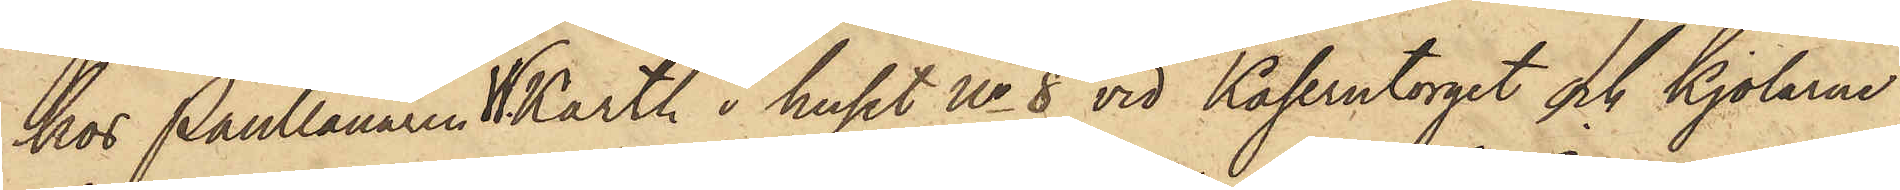hos Pantlånaren W. Karth i huset No 8 vid Kaserntorget och kjolarne
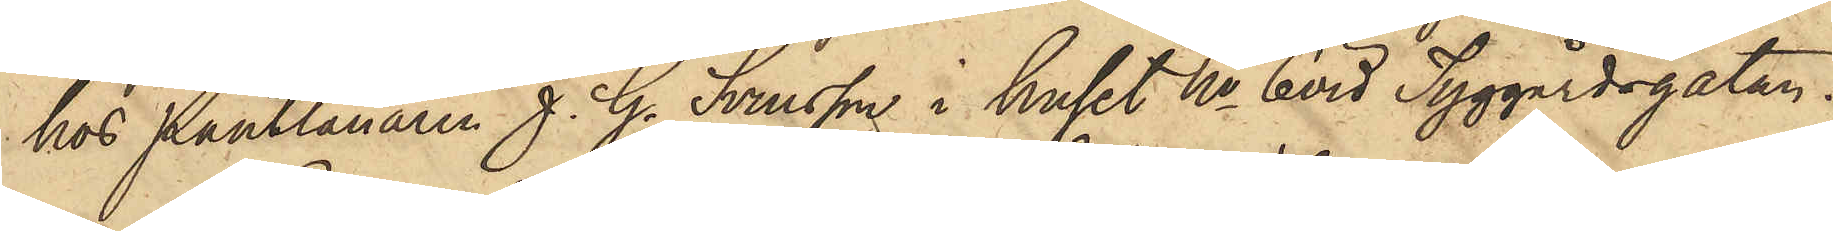hos Pantlånaren J. G. Svensson i huset No 6 vid Tyggårdsgatan.
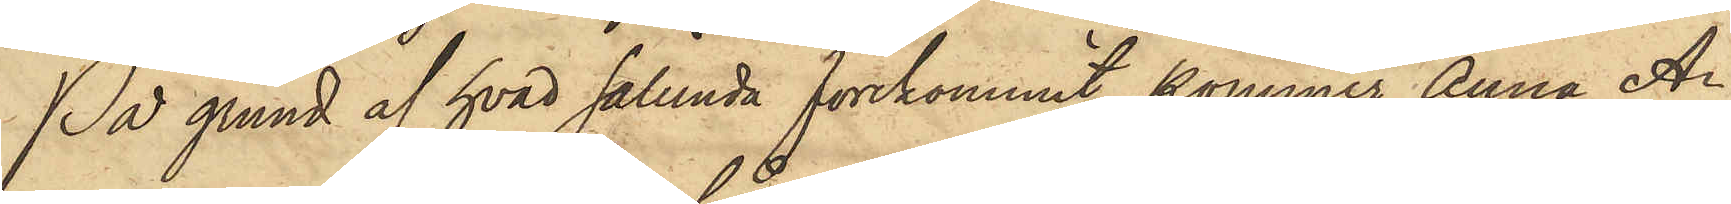På grund af hvad sålunda förekommit, kommer Anna A¬
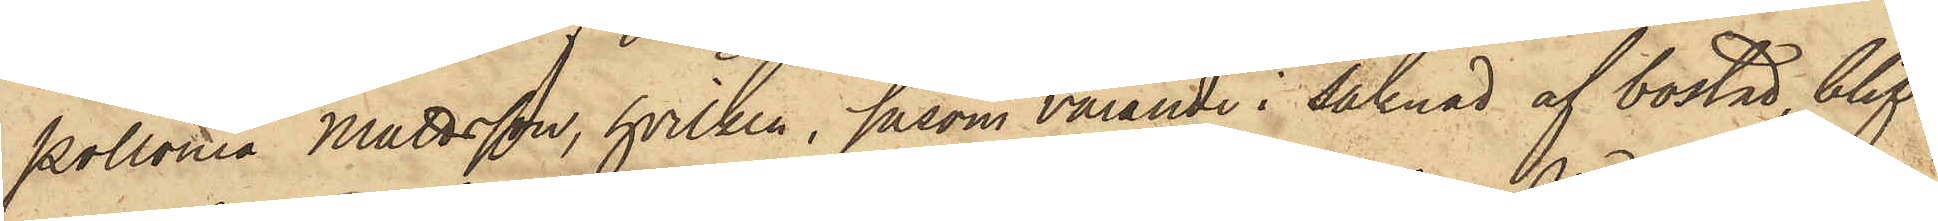pollonia Mattsson, hvilken, såsom varande i saknad af bostad, blif¬
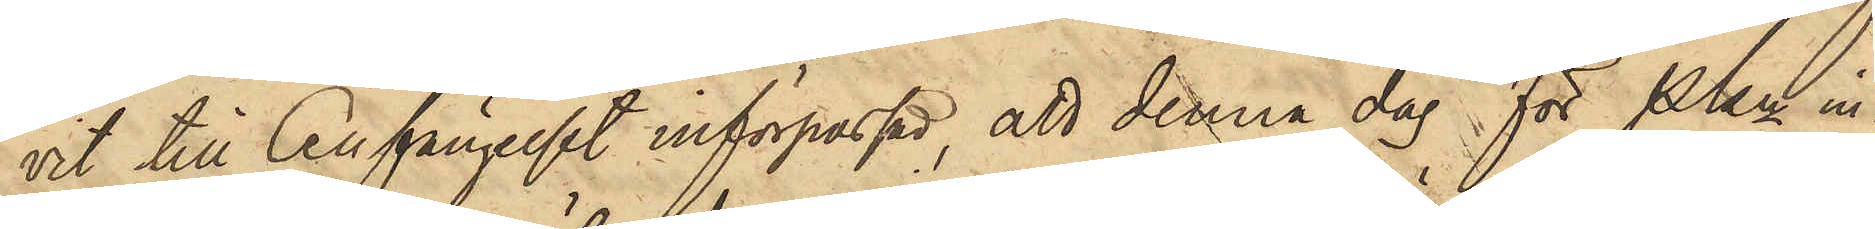vit till Cellfängelset införpassad, att denna dag för Pkn in¬
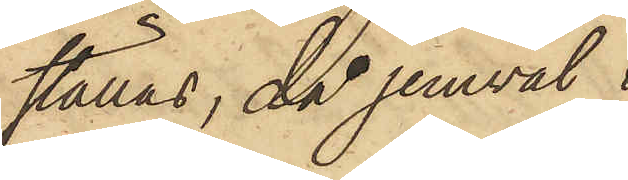ställas, då jemväl
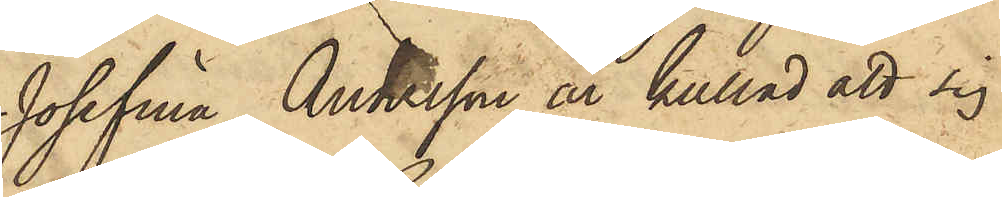Josefina Andersson är kallad att sig
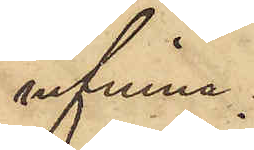infinna.
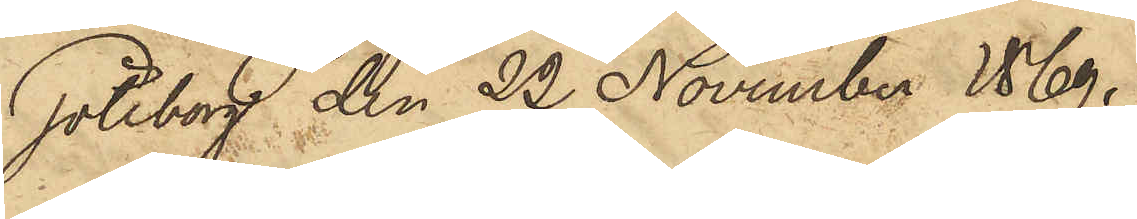Göteborg den 22 November 1869.
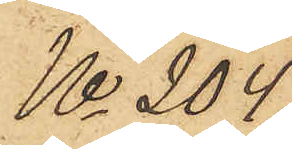No 204.
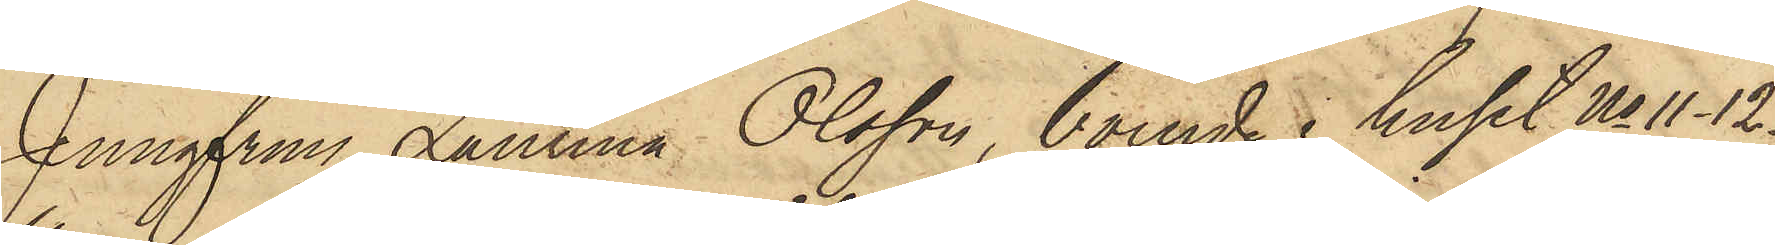Jungfrun Laurina Olsson, boende i huset No 11-12
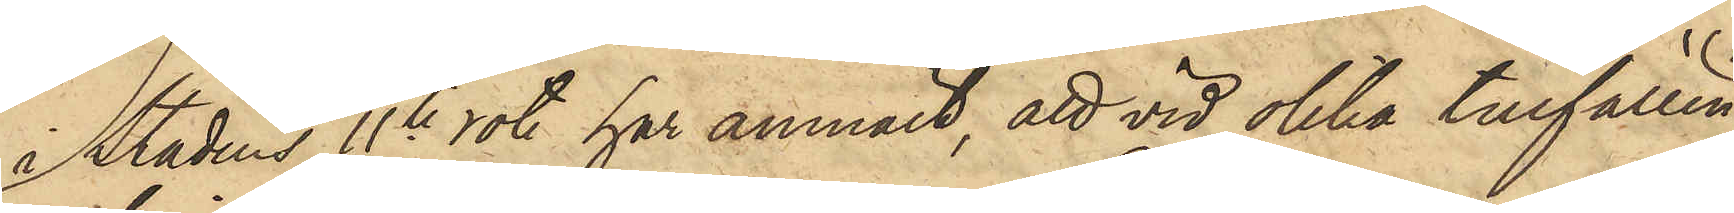i Stadens 11te rote har anmält, att vid olika tillfällen
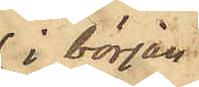i början
